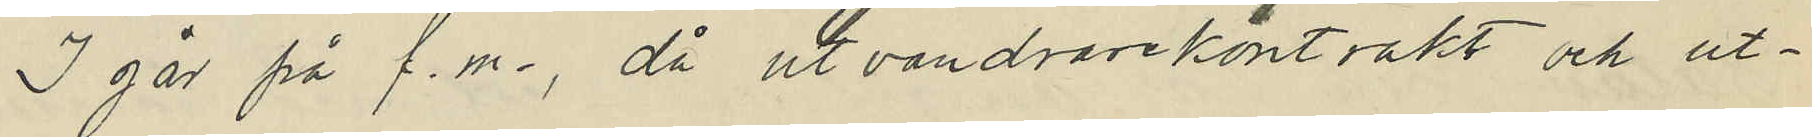I går på f.m., då utvandvarekontrakt och ut¬
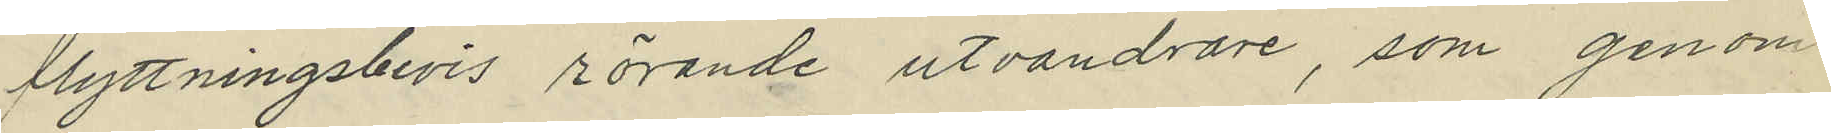flyttningsbevis rörande utvandrare, som genom
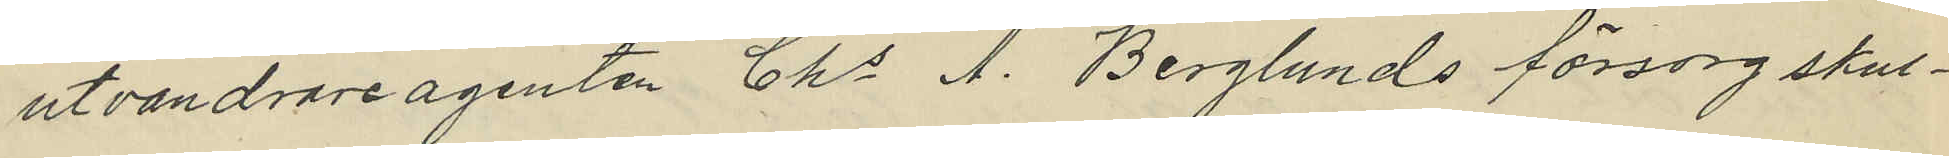utvandrareagenten Chs A. Berglunds försorg skul¬
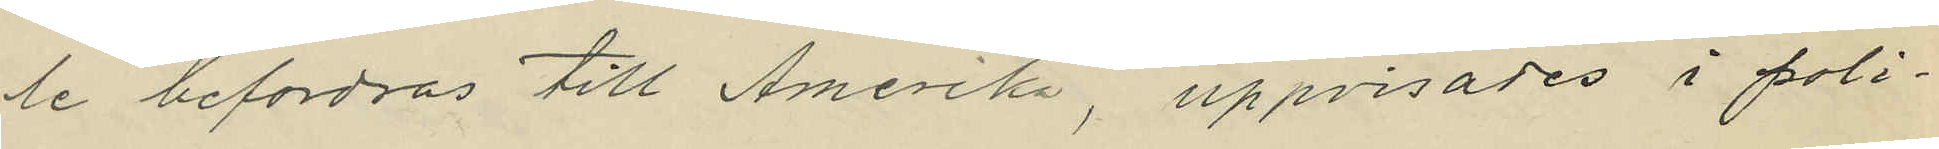le befordras till Amerika, uppvisades i poli¬
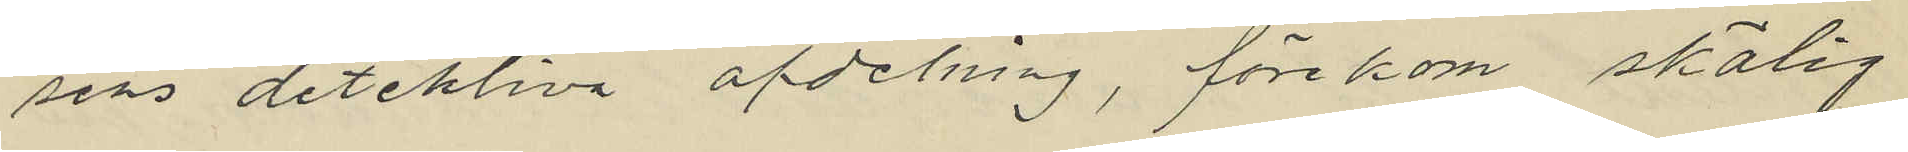sens detektiva afdelning, förekom skälig
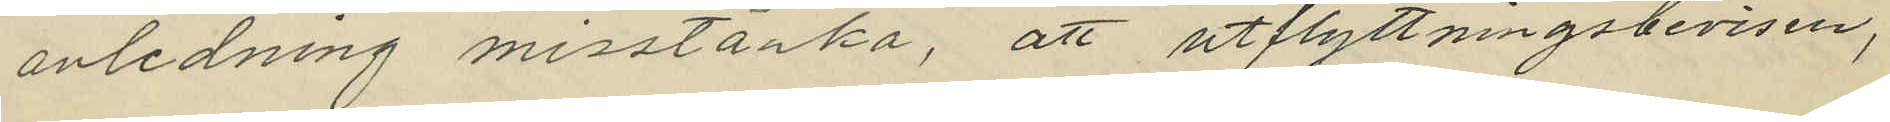anledning misstänka, att utflyttningsbevisen,
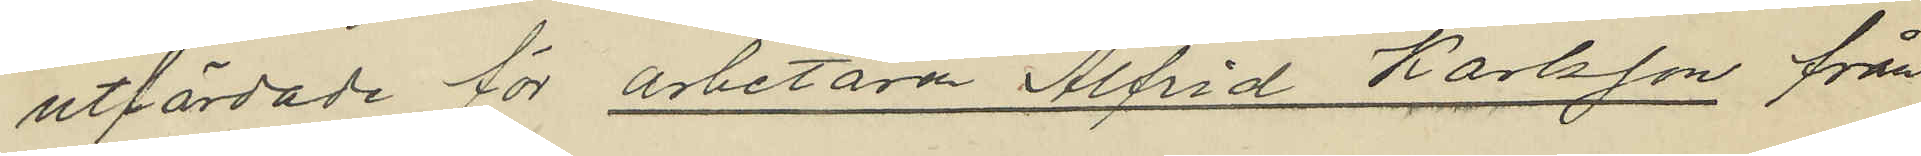utfärdade för arbetaren Alfrid Karlsson från
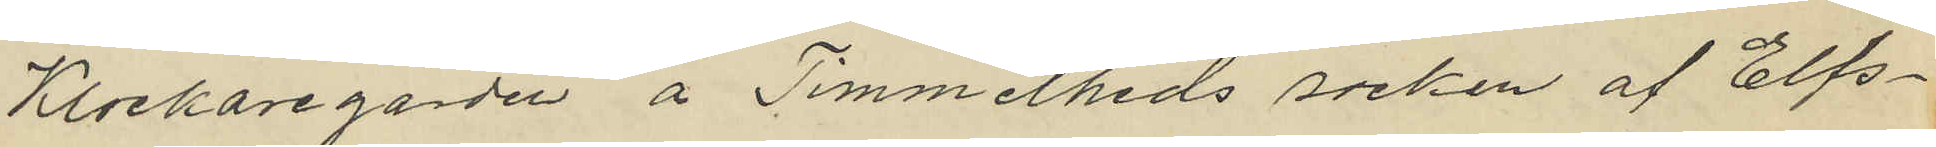Klockaregården å Timmelheds socken af Elfs¬
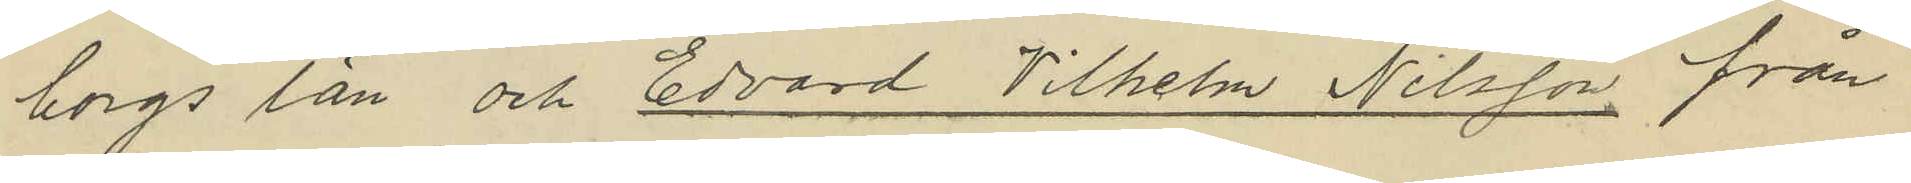borgs län och Edvard Vilhelm Nilsson från
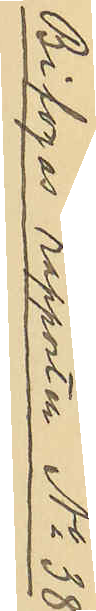Bifogas rapporten No 38
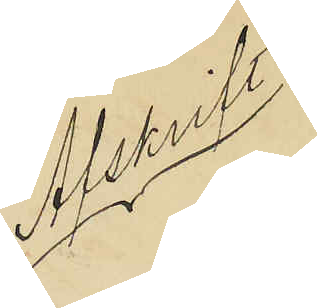Afskrift
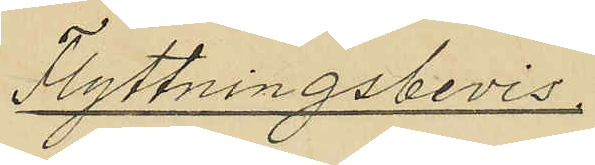Flyttningsbevis.
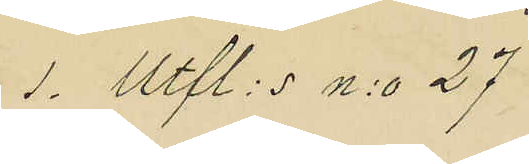1. Ufl: s n:o 27
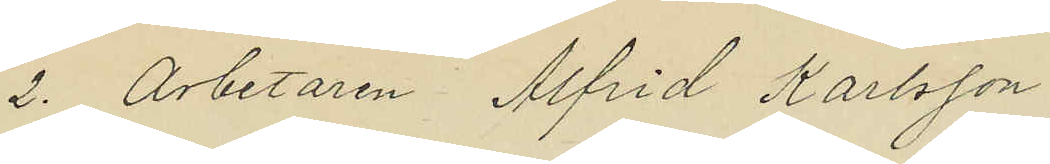2. Arbetaren Alfrid Karlsson
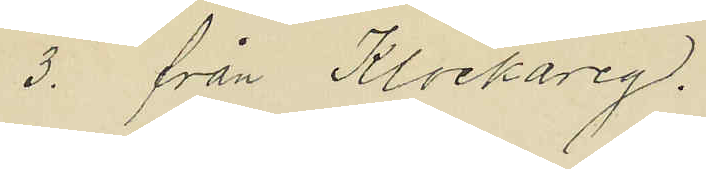3. från Klockareg.
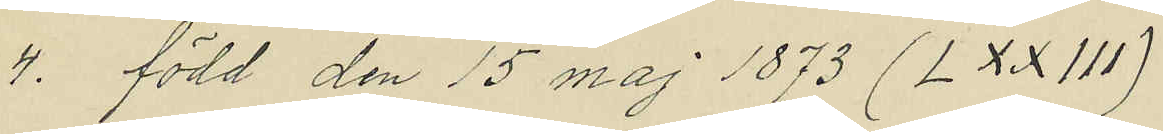4. född den 15 maj 1873 (LXXIII)
